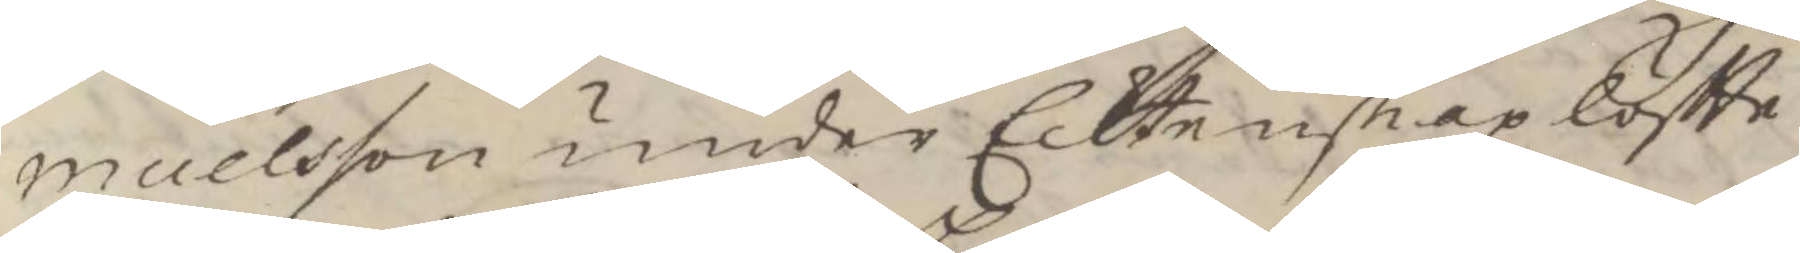muelsson under Ecktenskap löftte
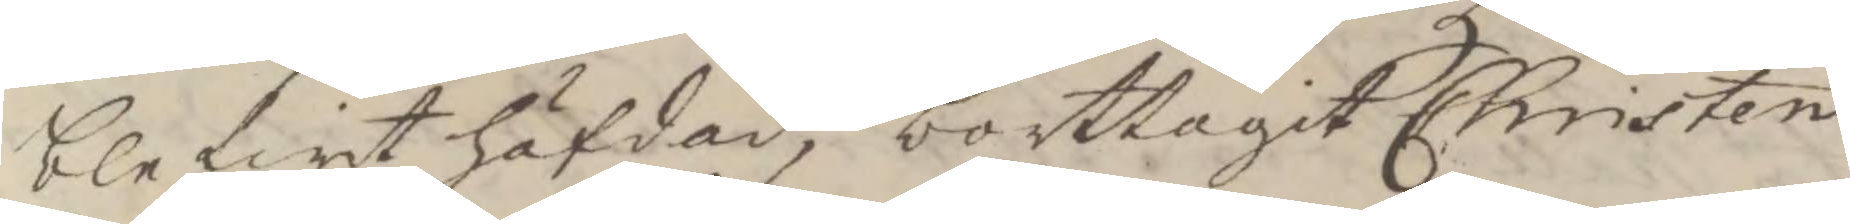blifwit häfdad, borttagit Christen
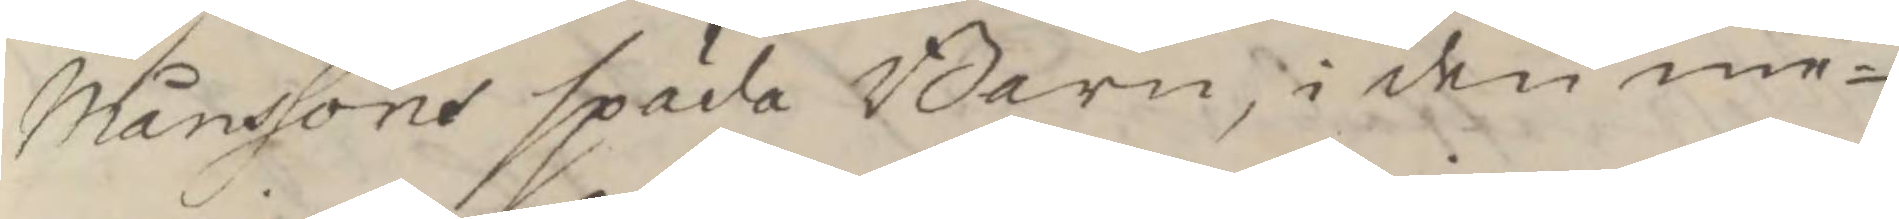Månssons späda Barn, i den me¬
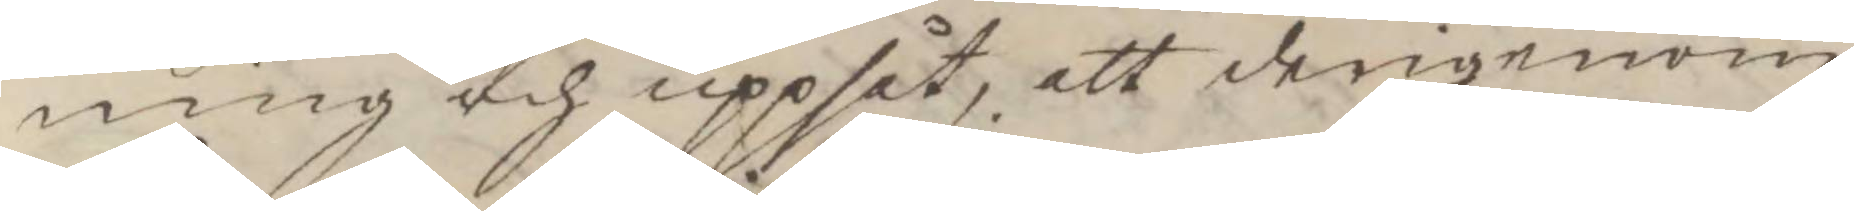ning och uppsåt, att derigenom
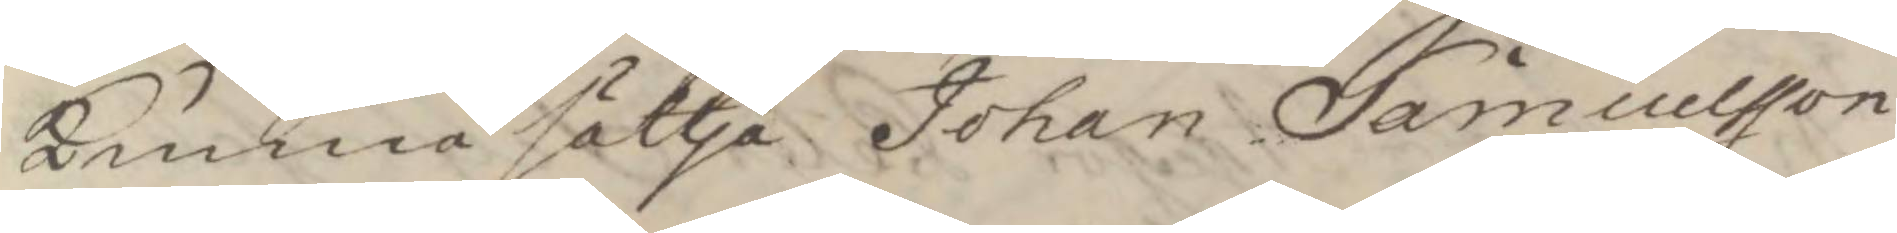kunna sätta Johan Samuelsson
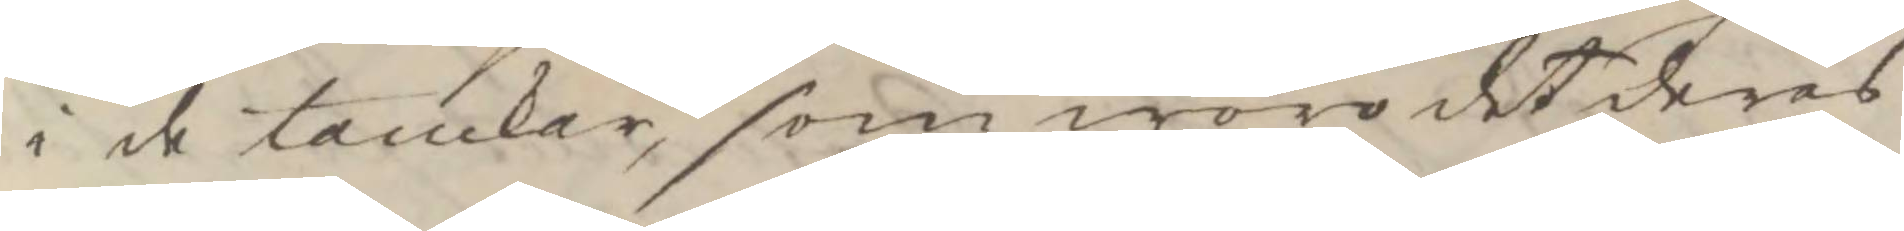i de tankar, som woro det deras
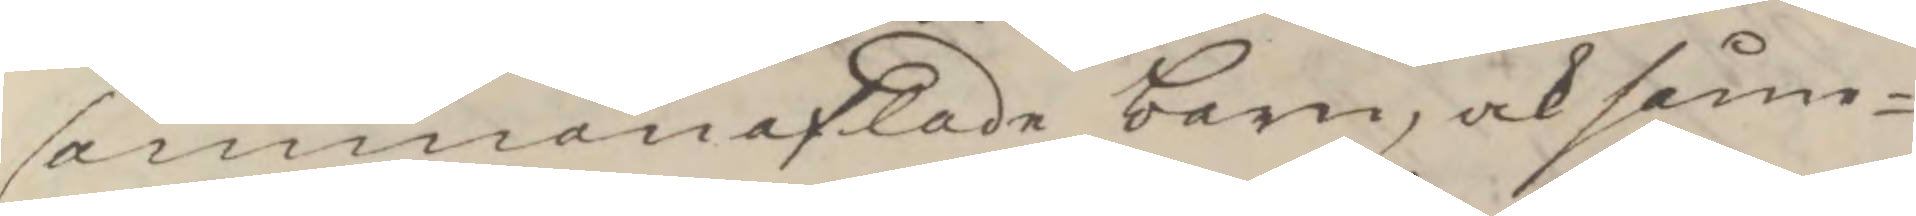sammanaflade barn, och såme¬
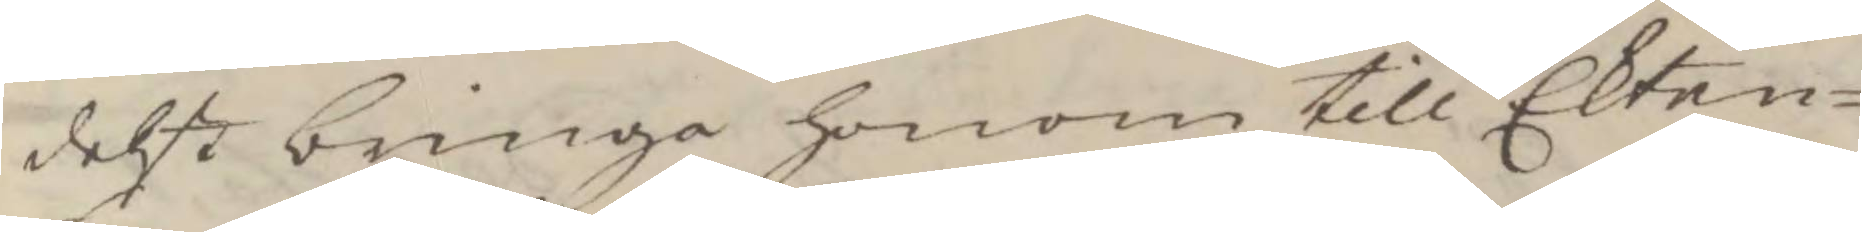delst bringa honom till Ekten¬
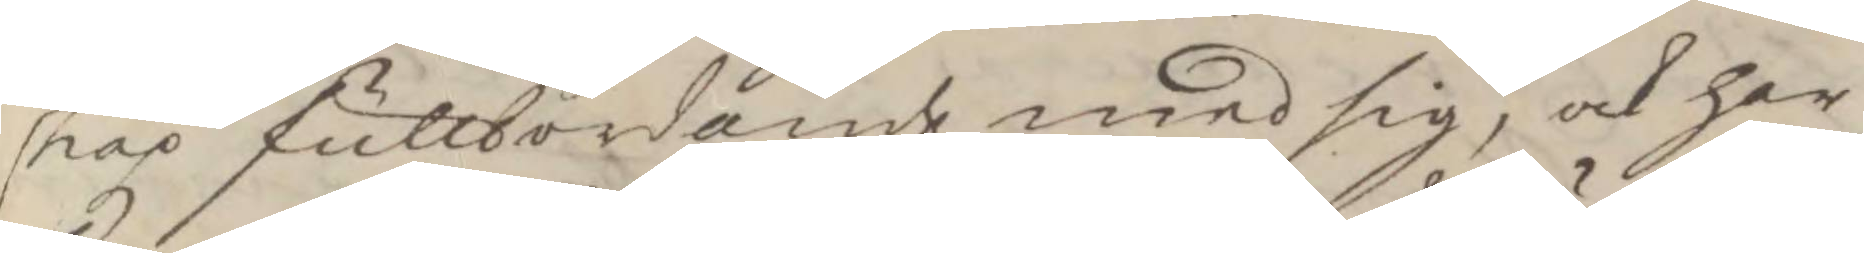skap fullbordande med sig, och har
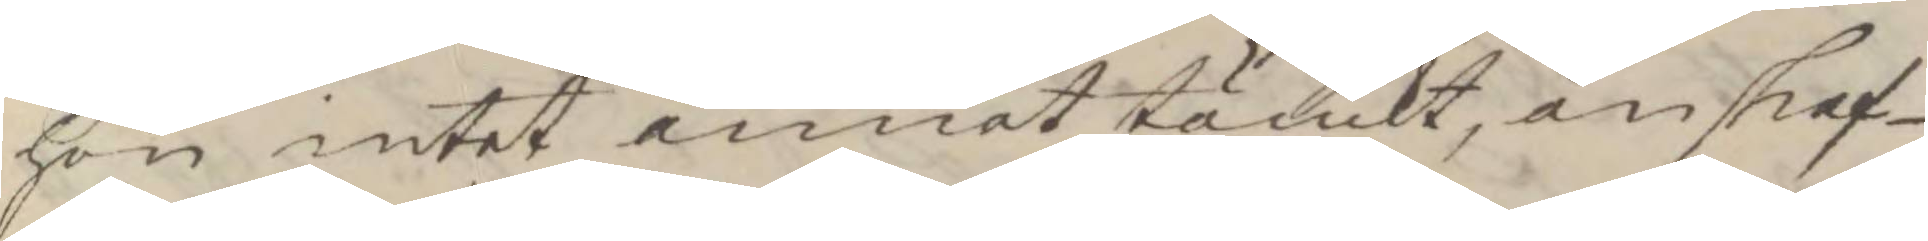hon intet annat tänkt, än skaf¬
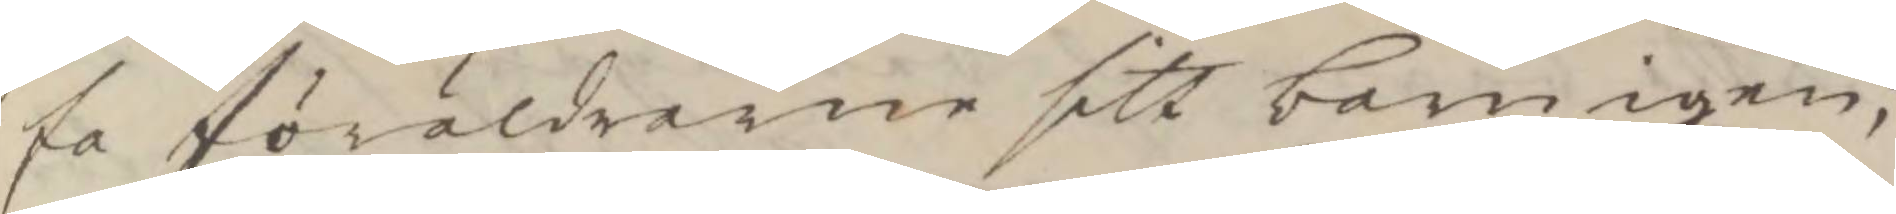fa föräldrarne sitt barn igen;
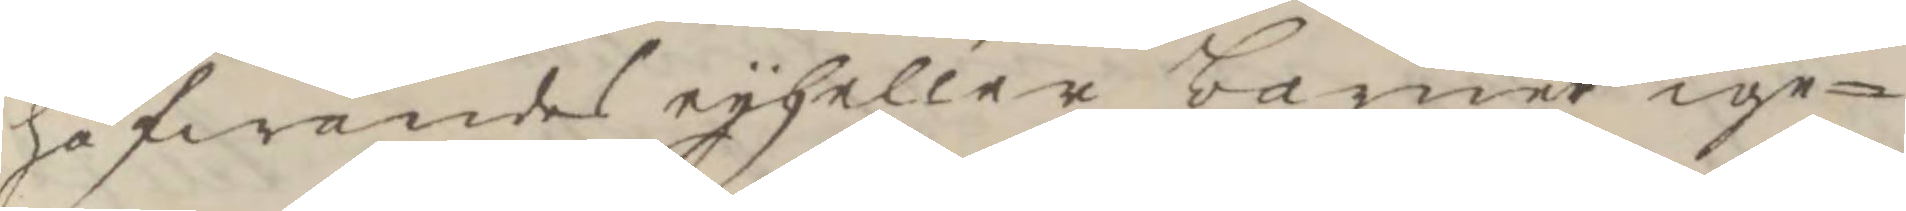hafwandes ey heller barner ige¬
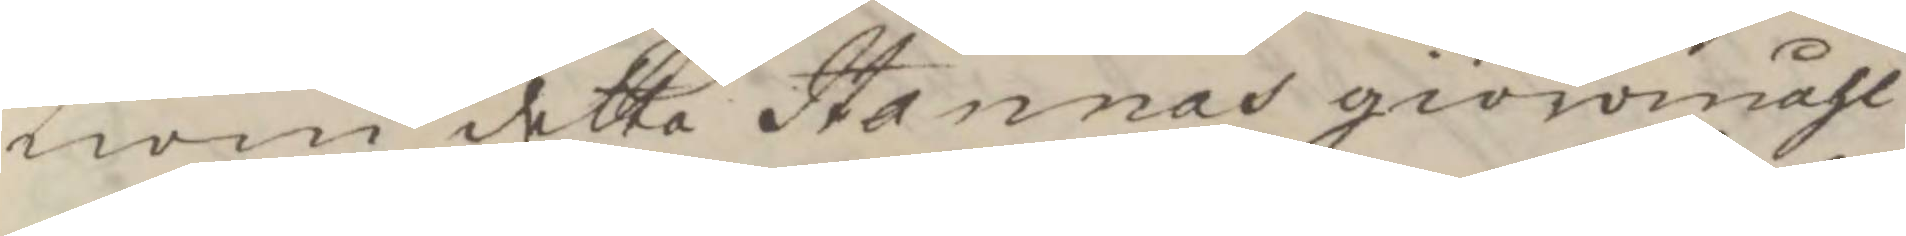nom detta Hannas giöromåhl
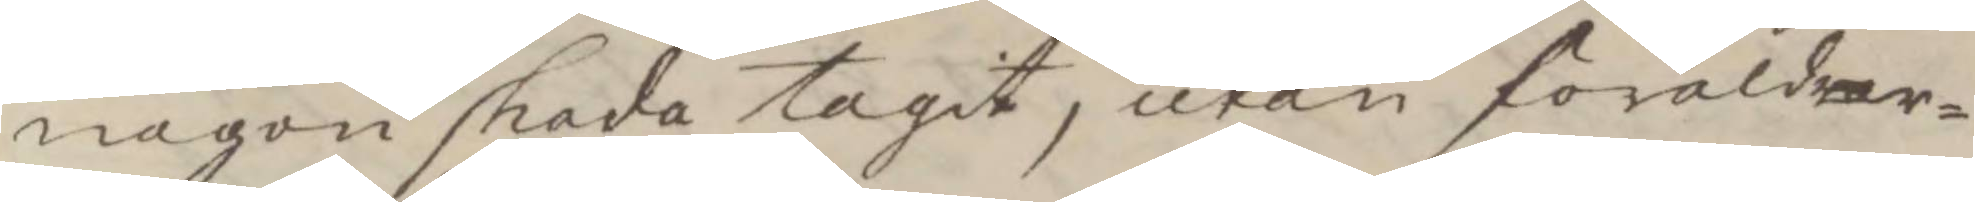någon skada tagit, utan föräldrar¬
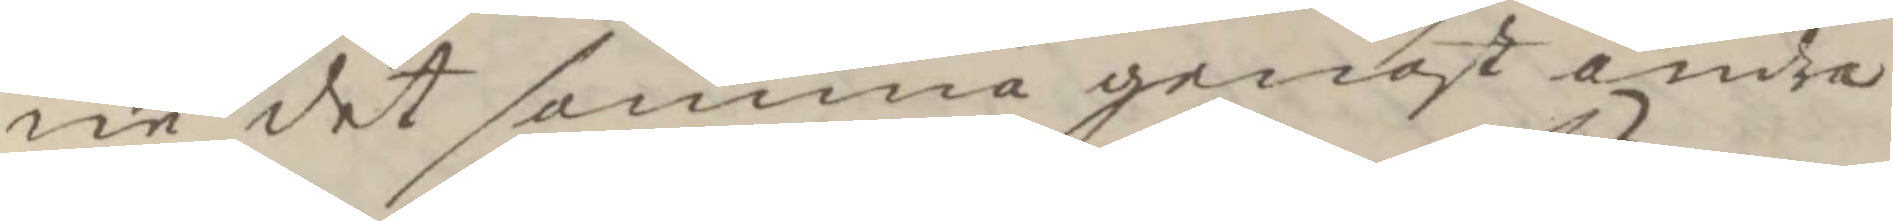ne det samma genast andra
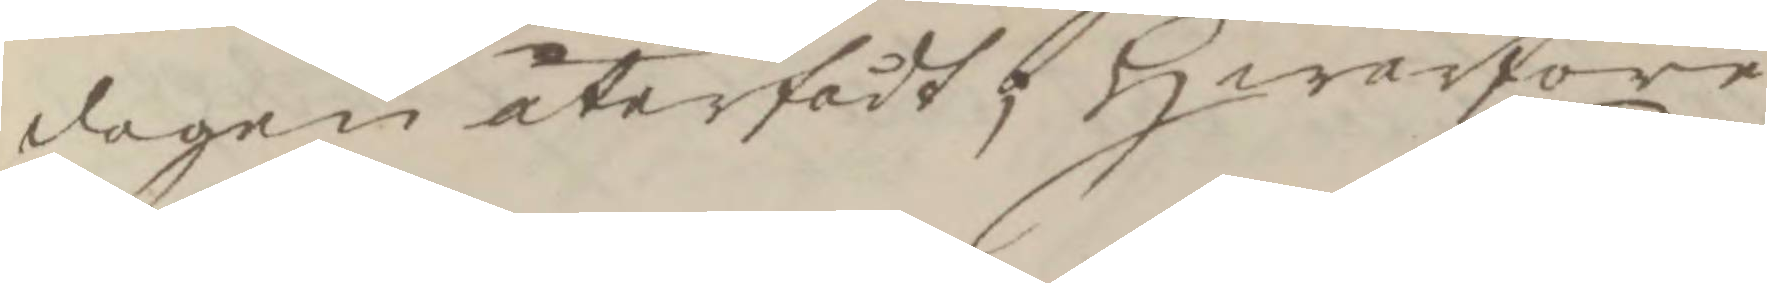dagen återfådt, hwarföre
